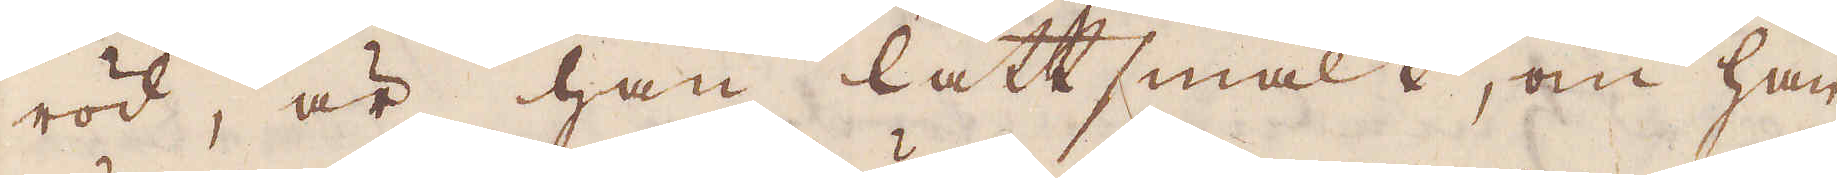röd, är han lättsmält, om han
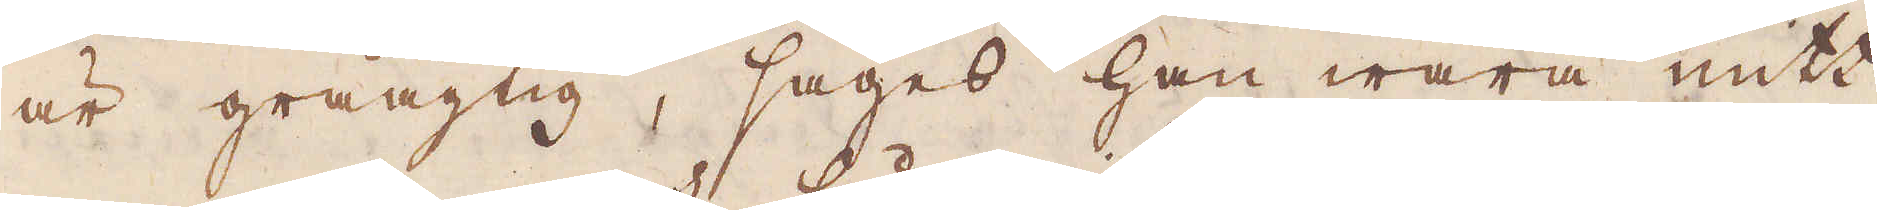är gråagtig, säges han wara mitt
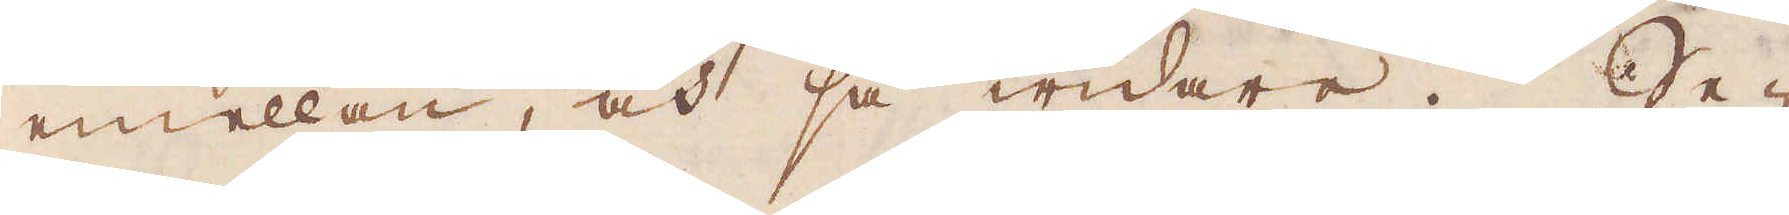emellan, och så widare. Se-
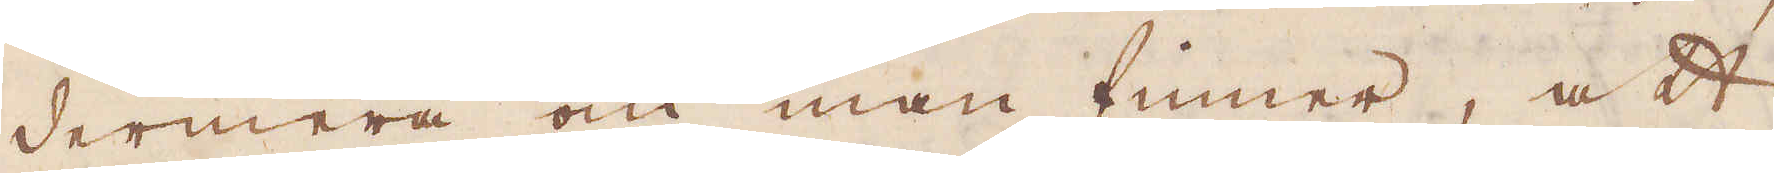dermera om man finner, att
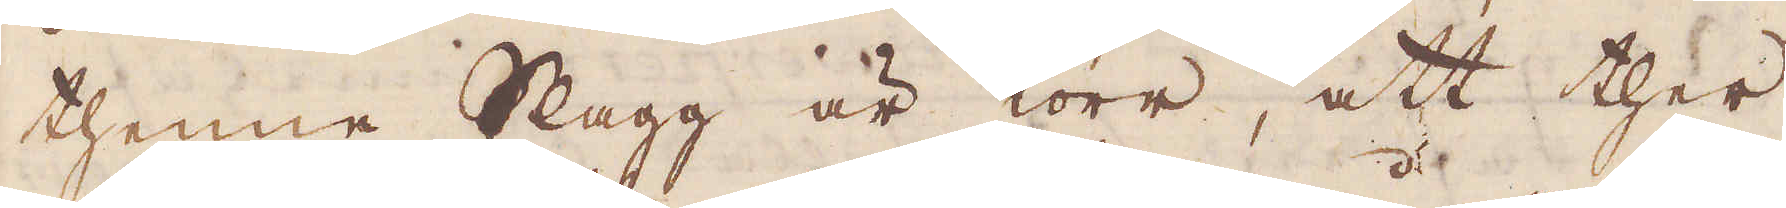thenne Slagg är torr, att ther
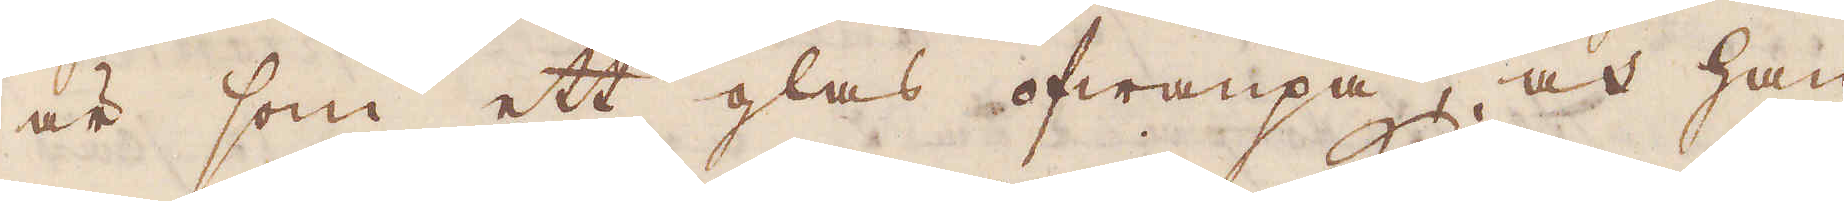är som ett glas ofwanpå, och han
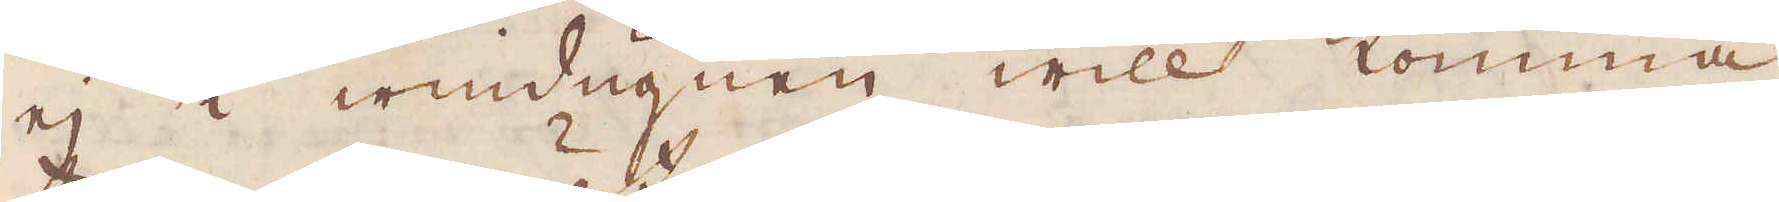ej i windugnen will komma
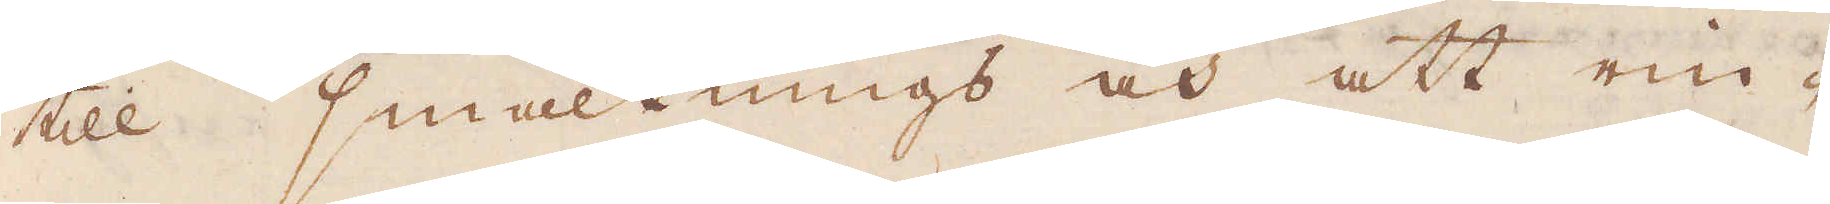till smältnings och att rin-
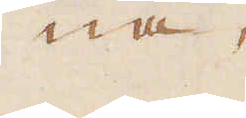na,
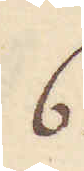6.
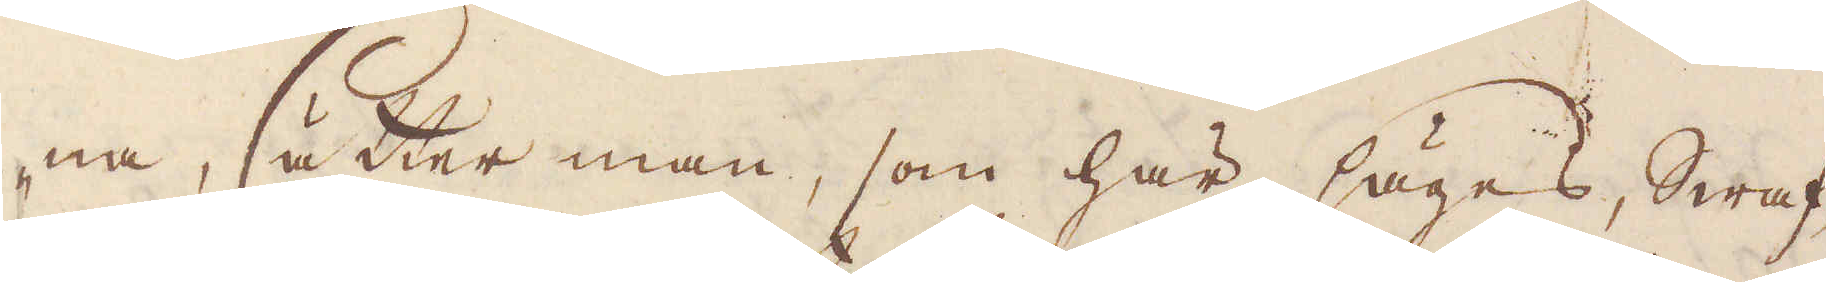na, sätter man, som här säges, Swaf-
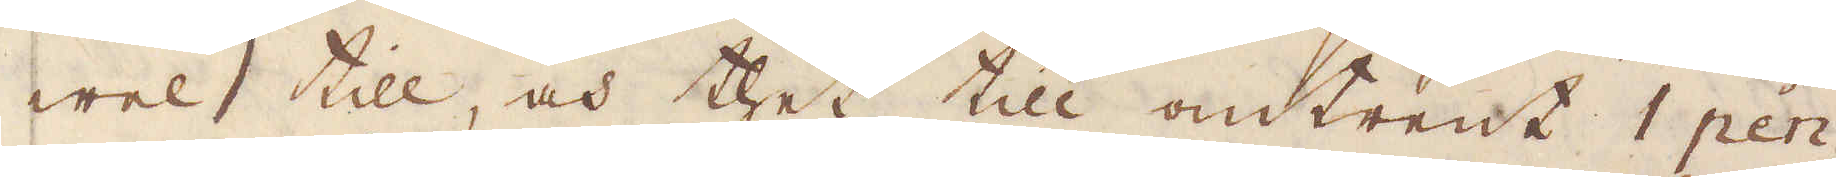wel till, och thet till omtrent 1 pen-
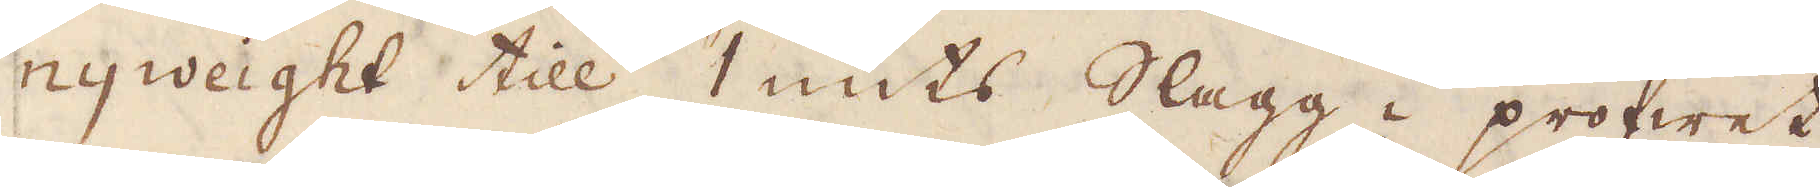nyweight till 1 unts Slagg i profwet,
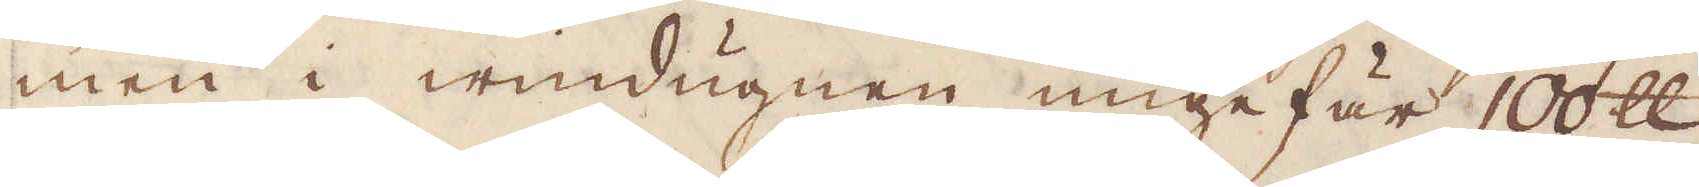men i windugnen ungefär 100 skålpund
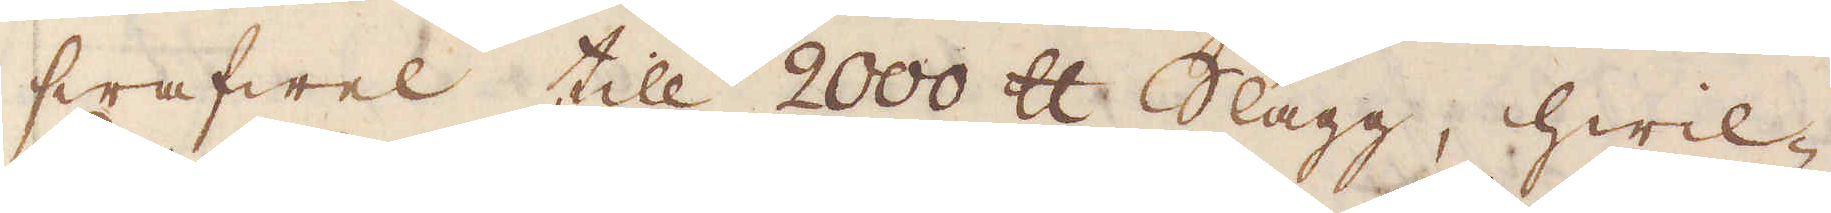swafwel till 2000 skålpund Slagg, hwil-
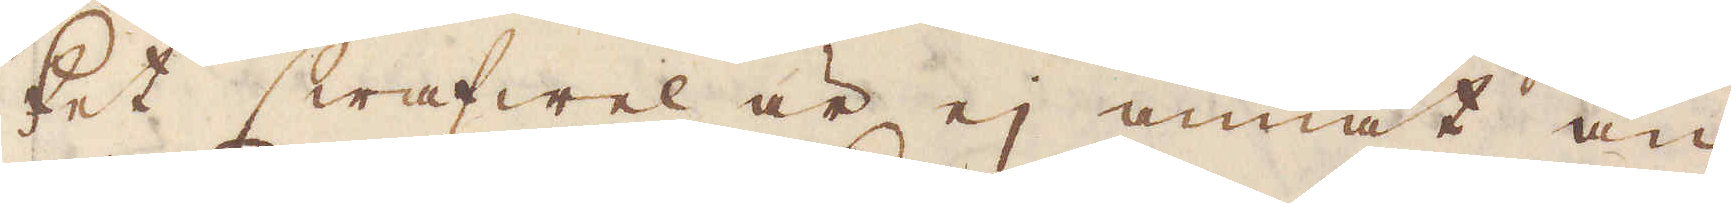ket swafwel är ej annat än
